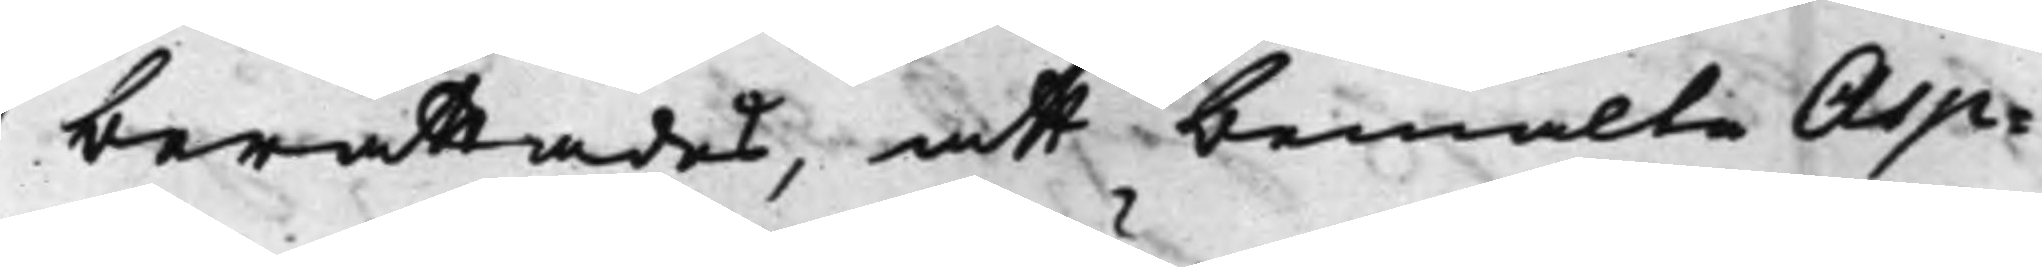berättades, att bemälte Asp¬
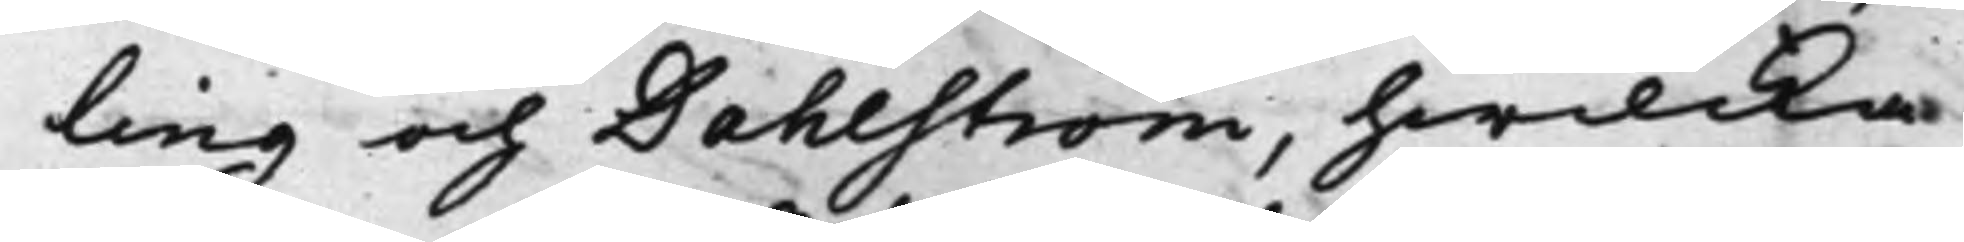ling och Dahlström, hwilka
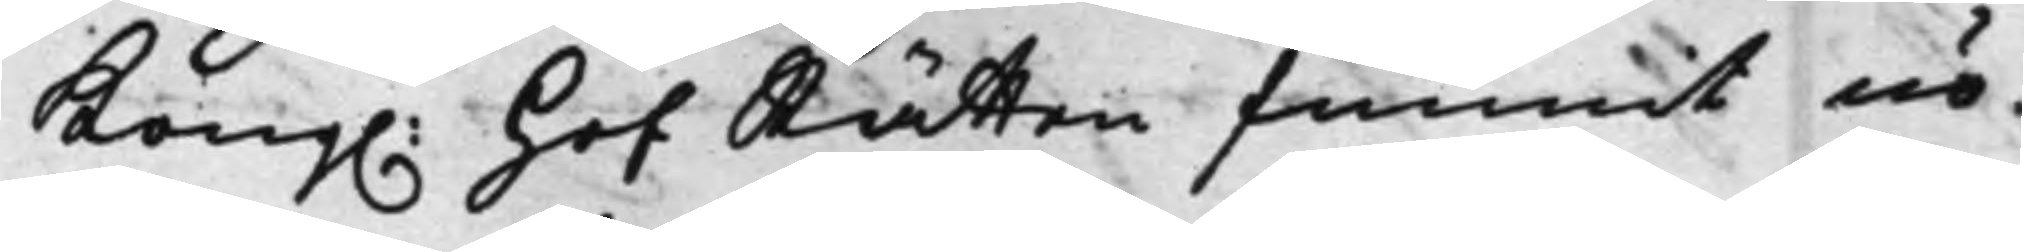Kong. HofRätten funnit nö¬
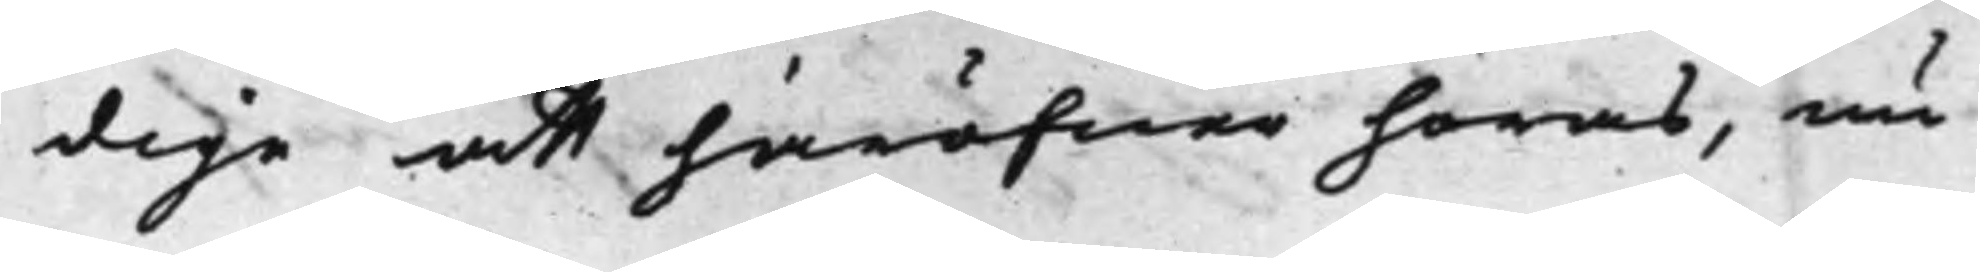dige att häröfwer höras, nu
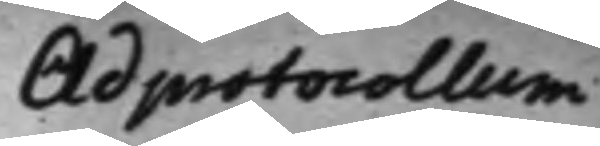Ad protocollum
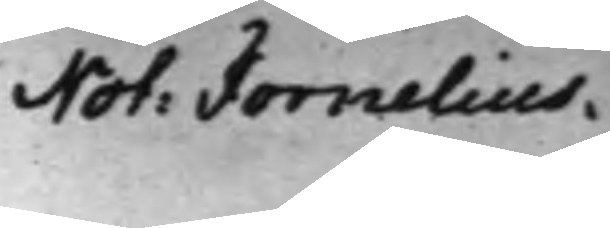Not: Fornelius
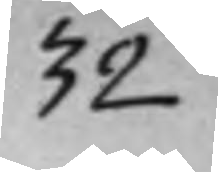32
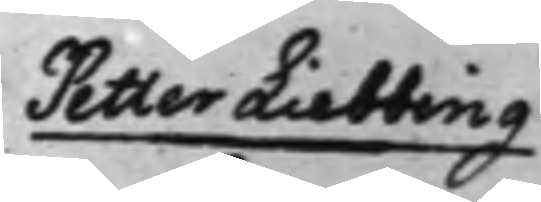Petter Liebbing
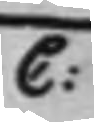C:
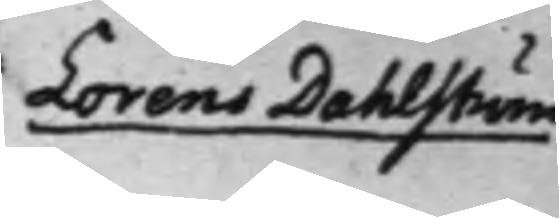Lorens Dahlström
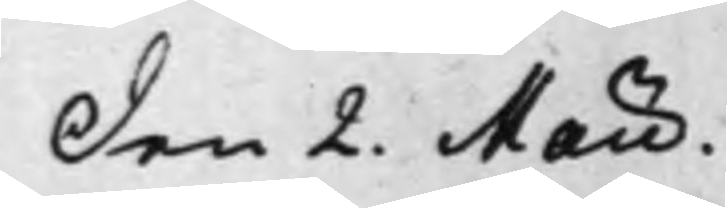Den 2. Maii. 
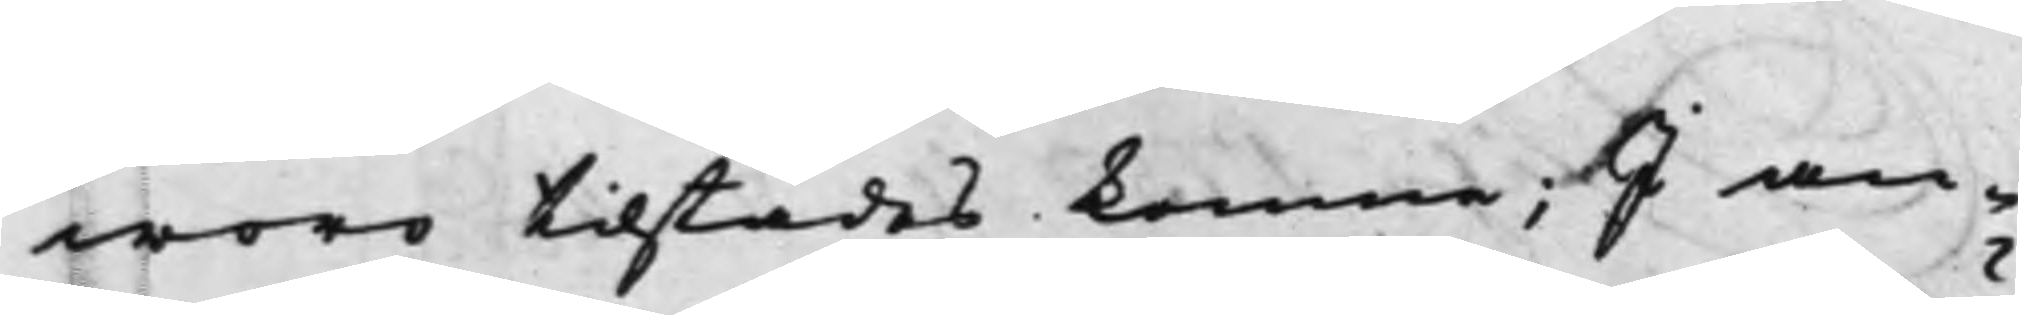woro tilstädes komne; I an¬
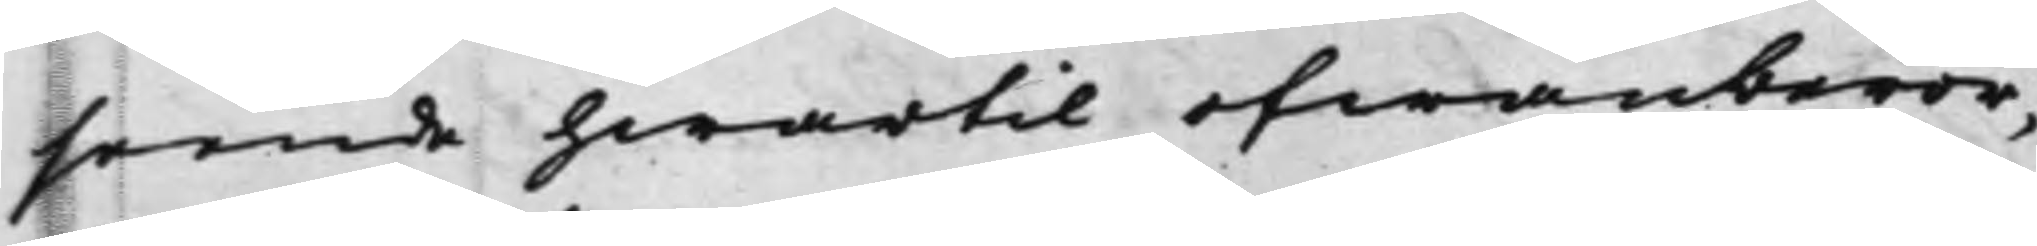seende hwartil ofwanberör¬
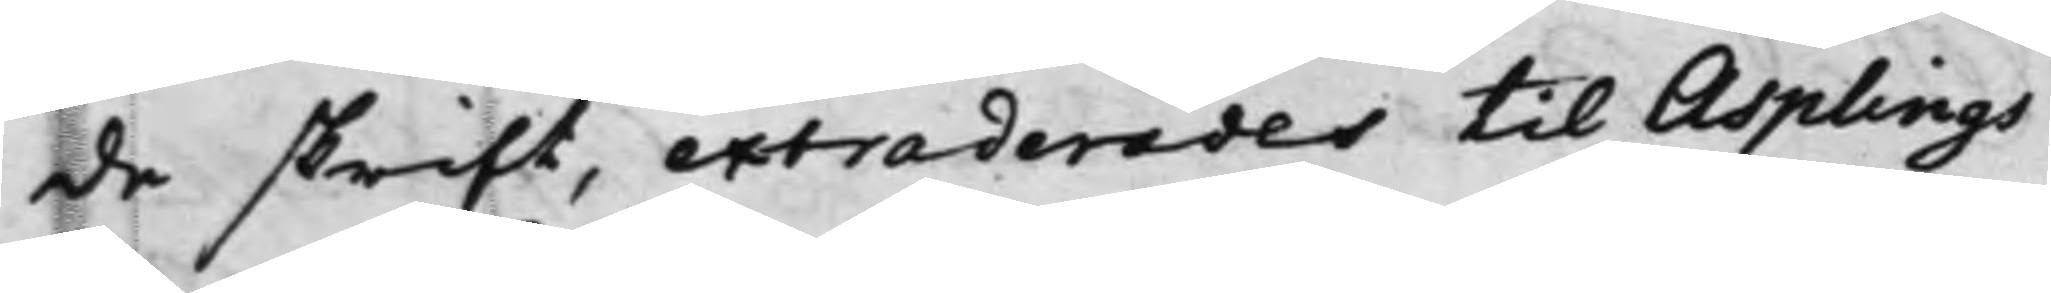de skrift, extraderades til Asplings
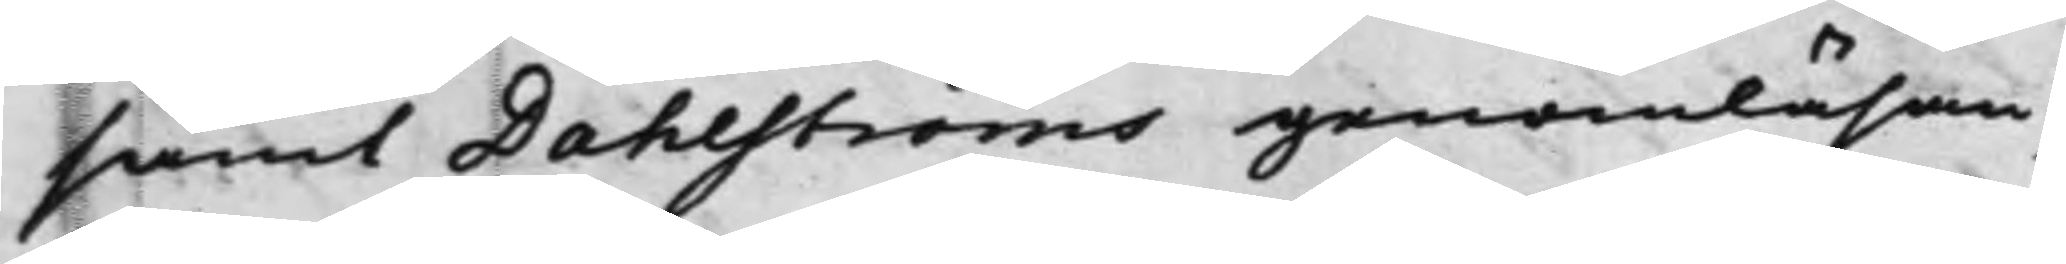samt Dahlströms genomläsan¬
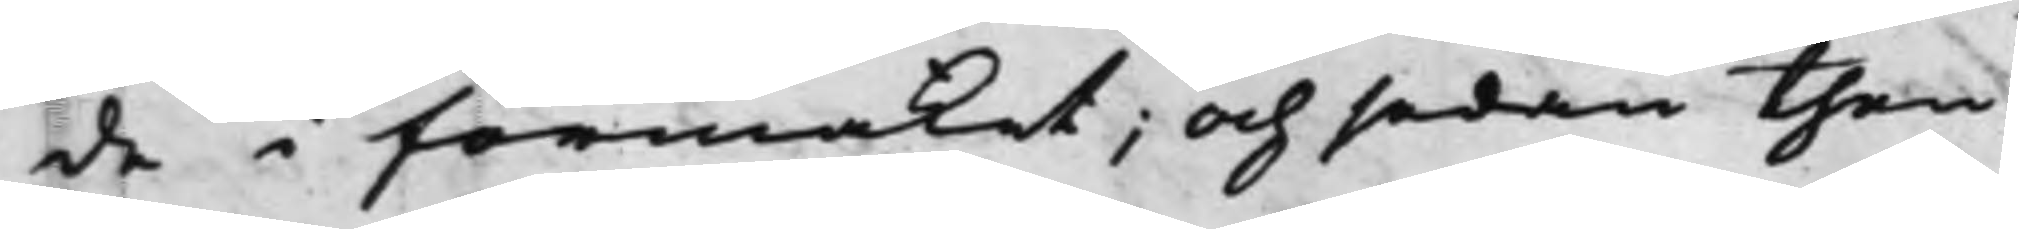de i förmaket; Och sedan then
